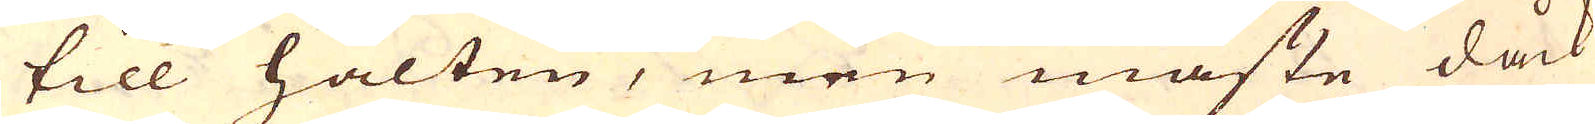till halten, men måste dåck
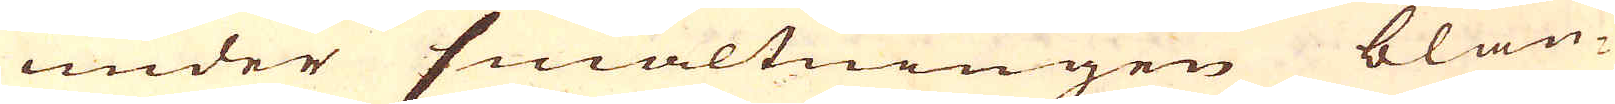under smältningen blan-
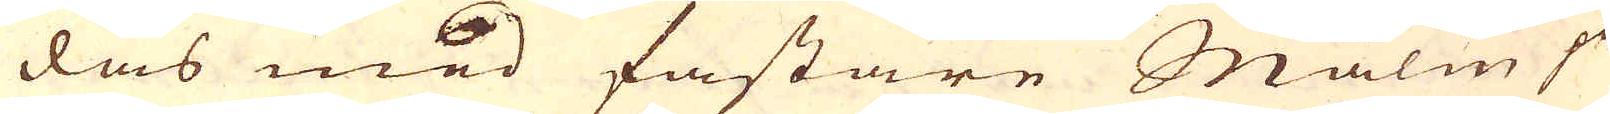das med fastare Malm på
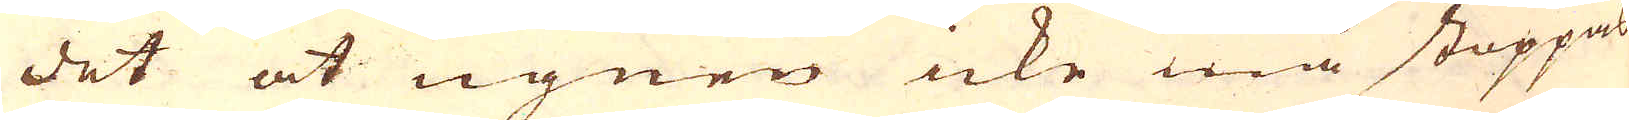det at ugnen icke må stoppas
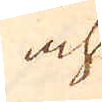och
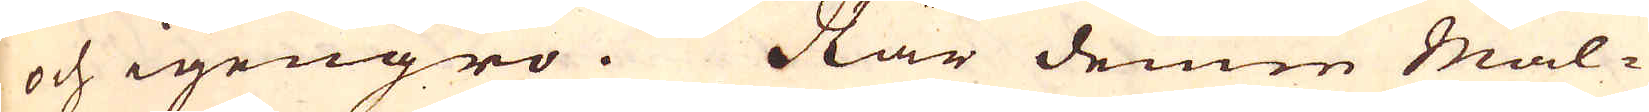och igengro. När denne Mal-
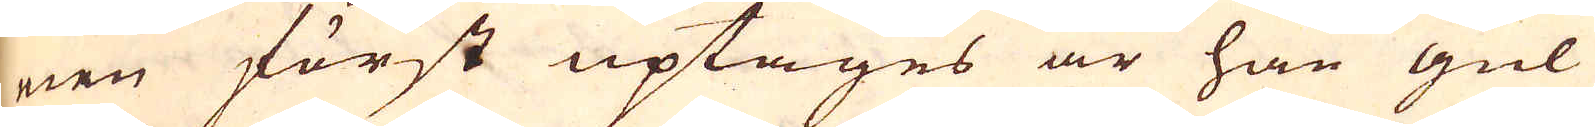nen först uptages är han gul
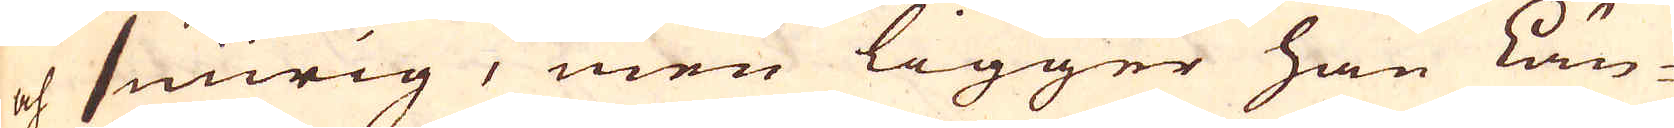och smirig, men ligger han Län-
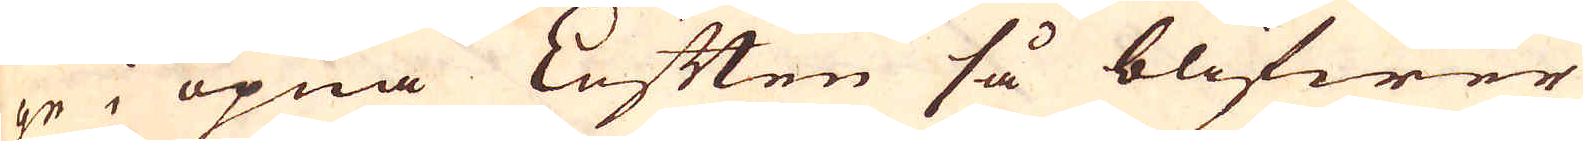ge i öpna Luften så blifwer
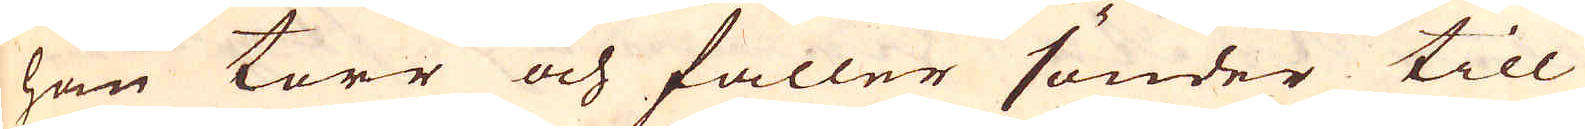han torr och faller sönder till
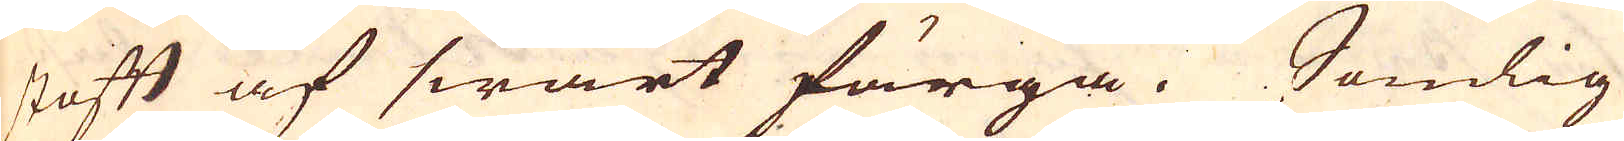stoft af swart färga. Somlig
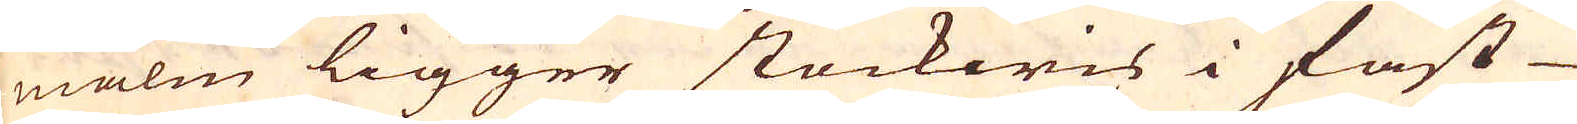malm ligger stockwis i fast
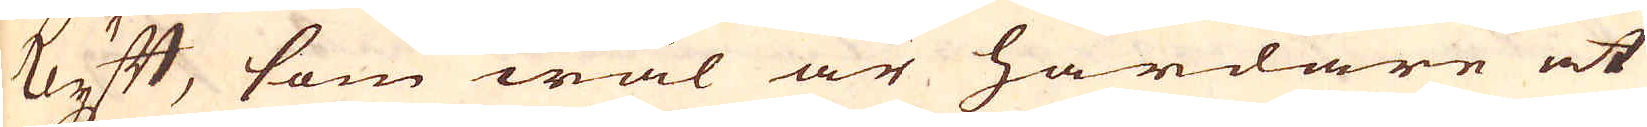Klyft, som wäl är hårdare at
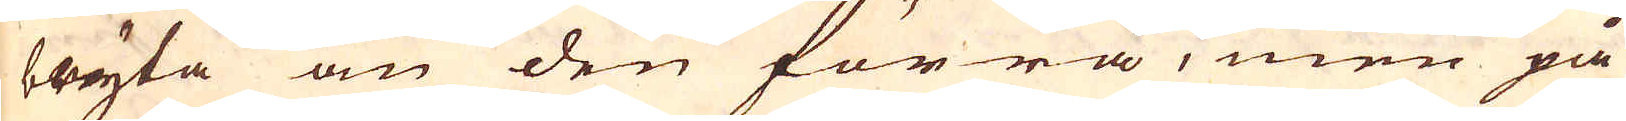bryta än den förra, men på
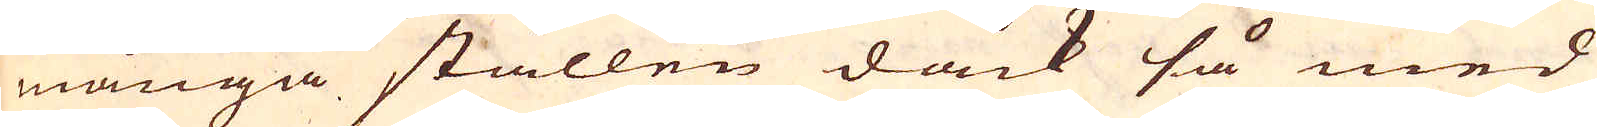många ställen dåck så med
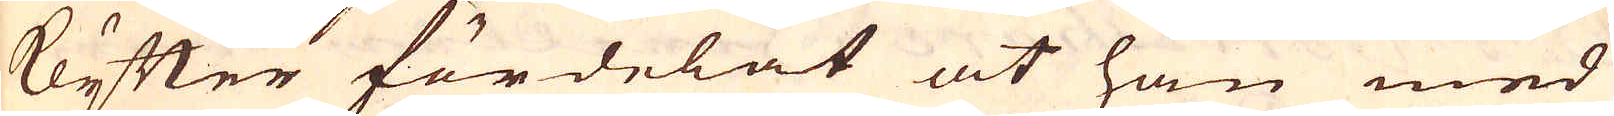Klyfter fördelat at han med
